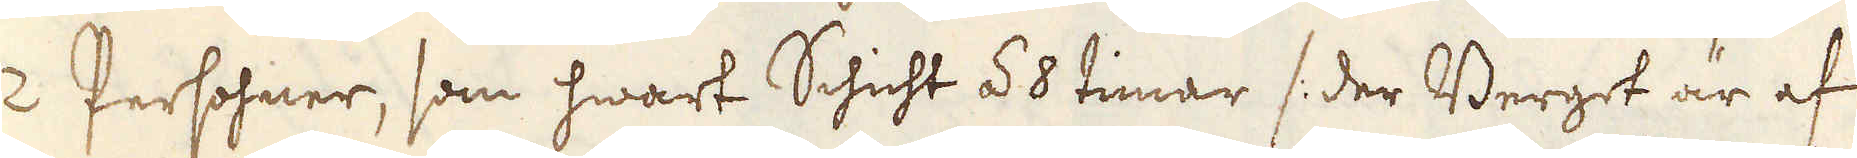2 Persohner, som hwart Schicht á 8 timar /: der Berget är af
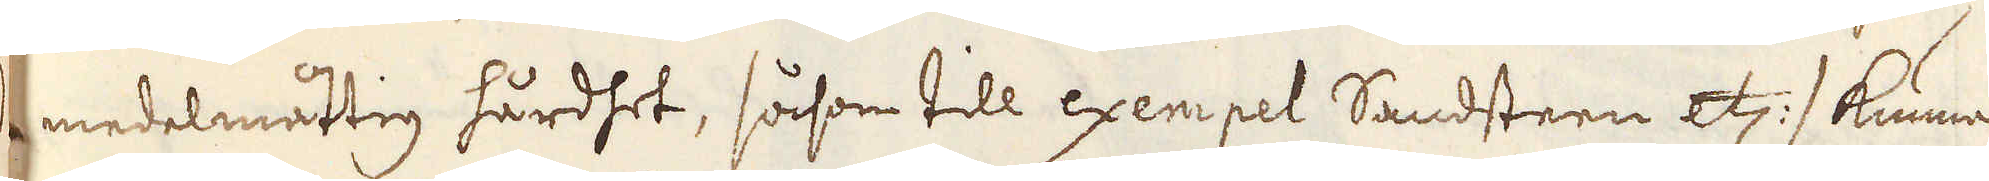medelmåttig hårdhet, såsom till exempel Sandsteen etc:/ kunna
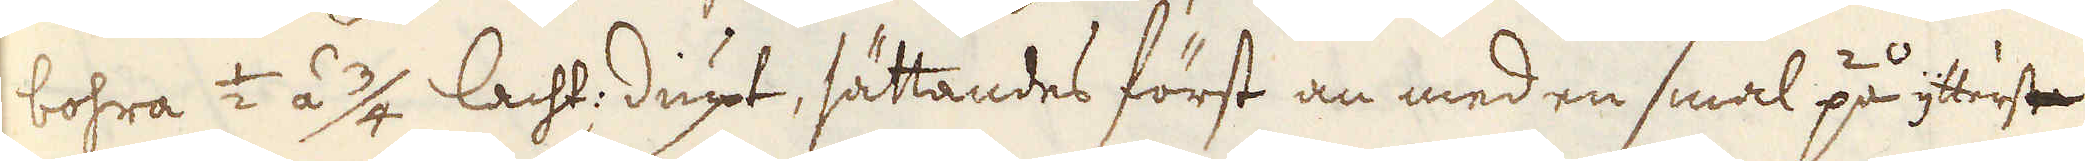bohra 1/2 á 3/4 lacht: diupt, sättandes först an med en smal på ytrerste
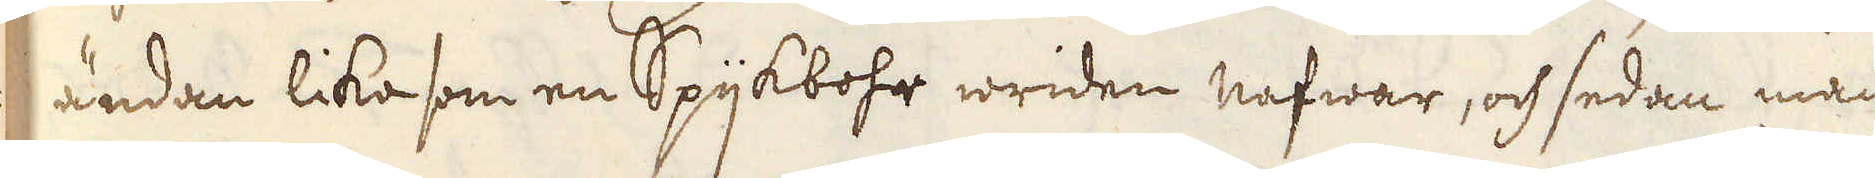ändan lika som en Spijkbofr wriden nafwar, och sedan man
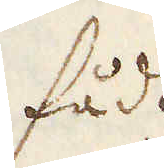fådt
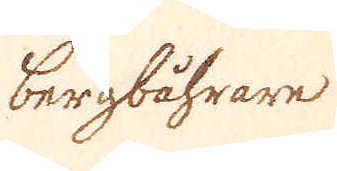bergbåhrare
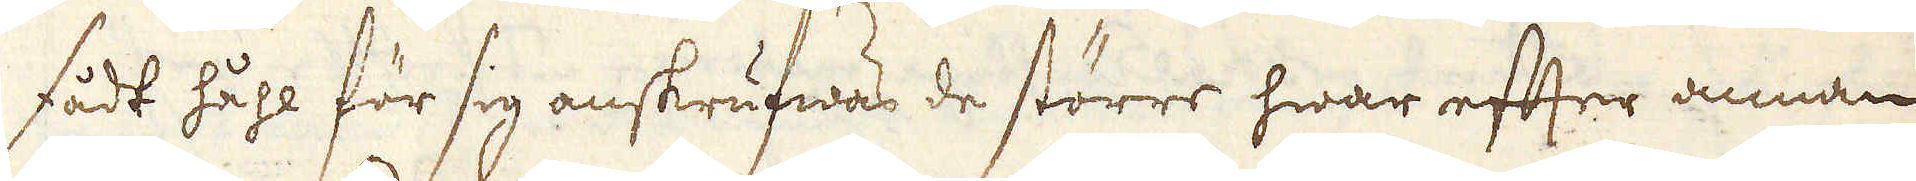fådt håhl för sig anskrufwas de större hwar efter annan,
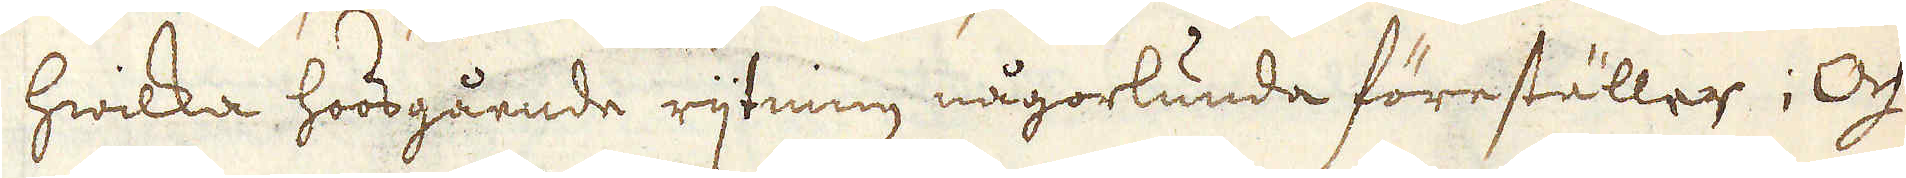hwilka hoosgående rijtning någorlunda föreställer; Och
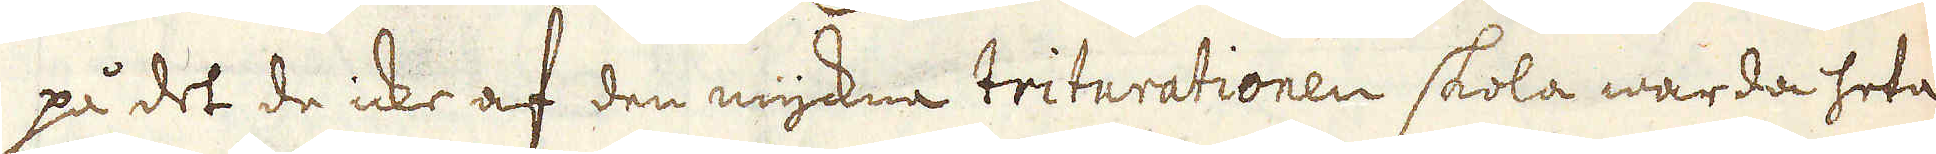på det de icke af den myckna triturationen skola warda heta
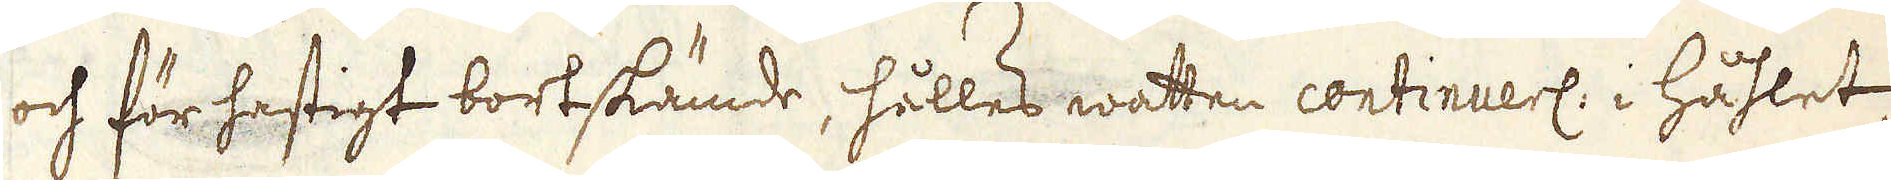och för hastigt bortskämde, hälles watten continuerl: i håhlet,
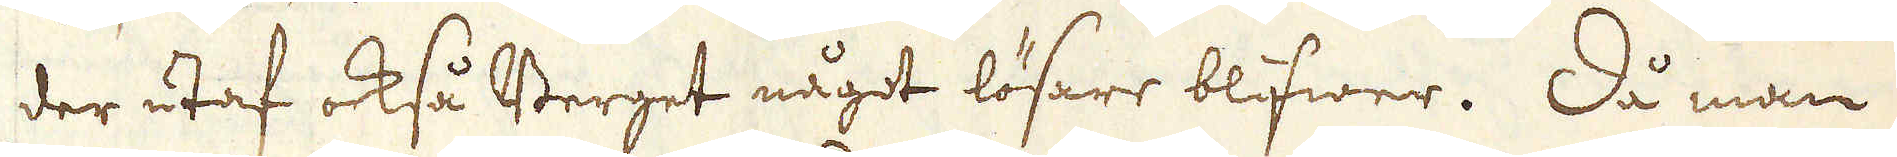der utaf också Berget något lösare blifwer. Då man
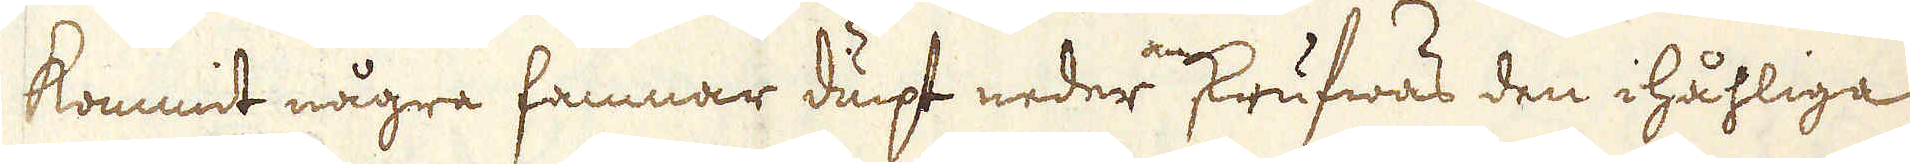kommit några famnar diupt neder anskrufwas den ihåhliga
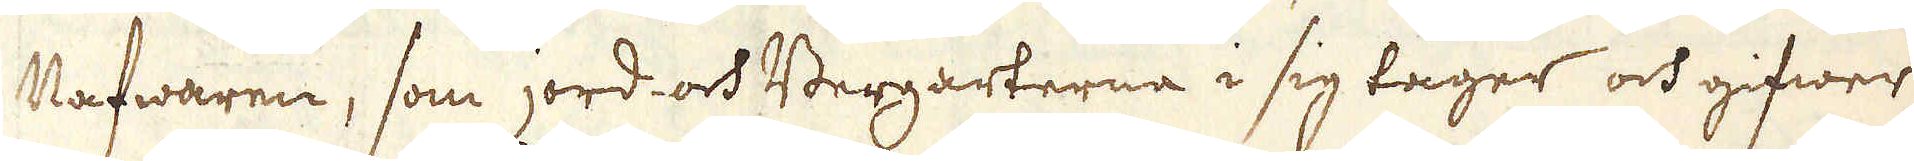Nafwaren, som jord- och Bergarterne i sig tager och gifwer
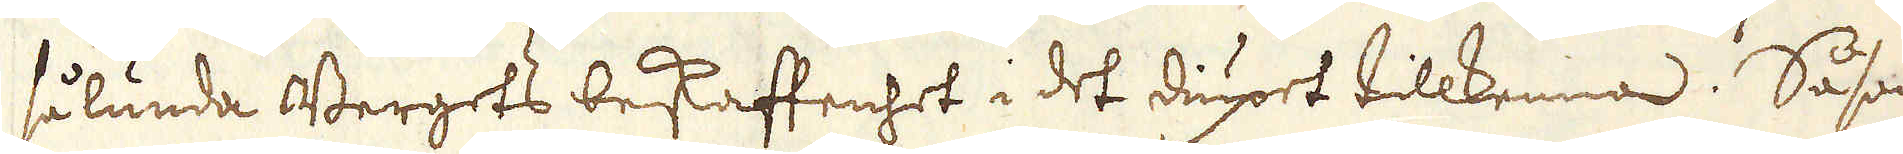sålunda Bergets beskaffenhet i det diupet tillkenna. Såsom
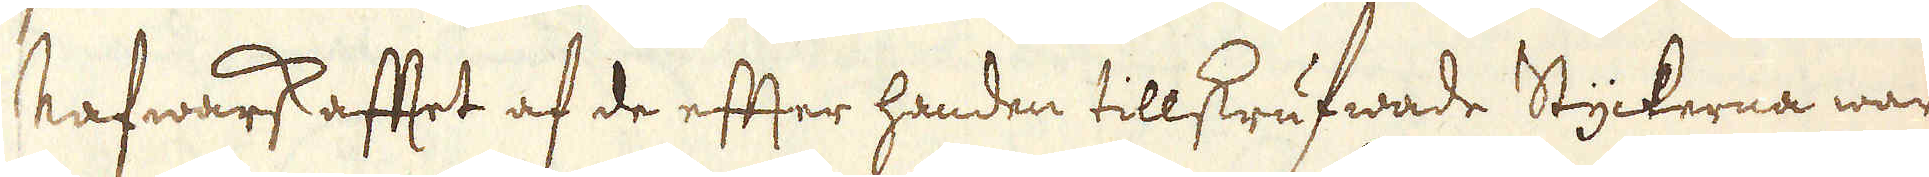Nafwarskafftet af de efter handen tillskrufwade Styckerna war-
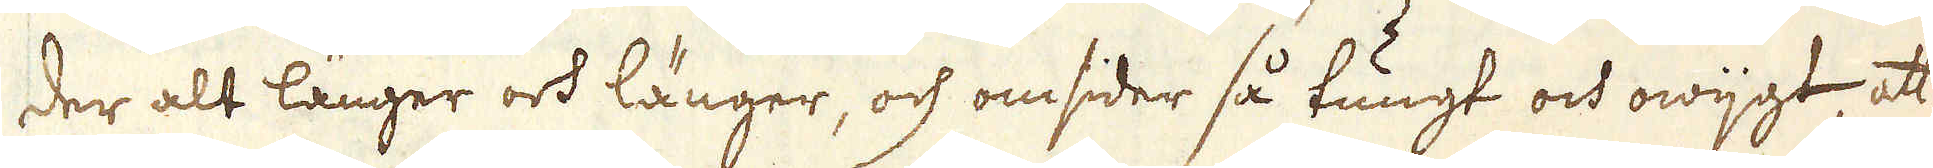der alt länger och länger, och omsider så tungt och owijgt, att
